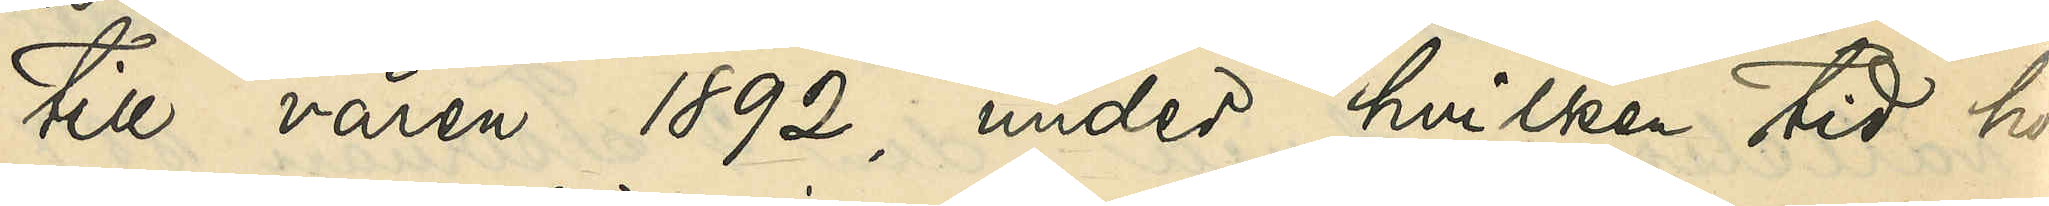till våren 1892, under hvilken tid hon
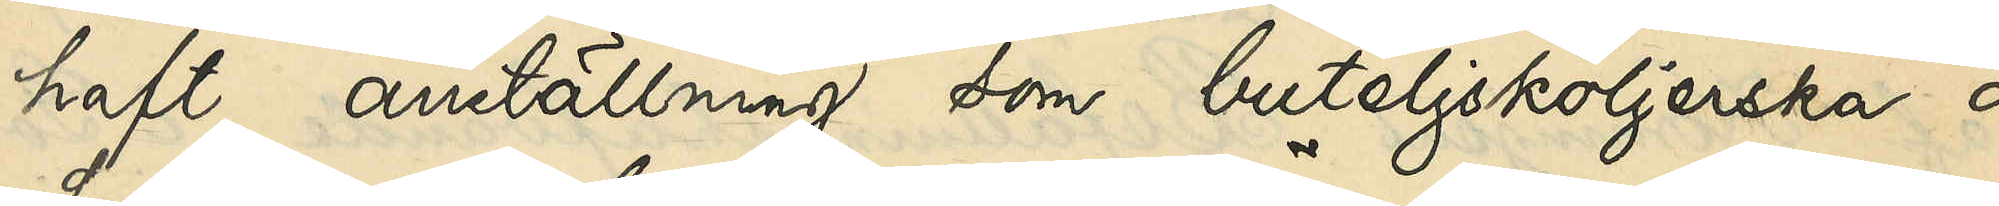haft anställning som buteljsköljerska å
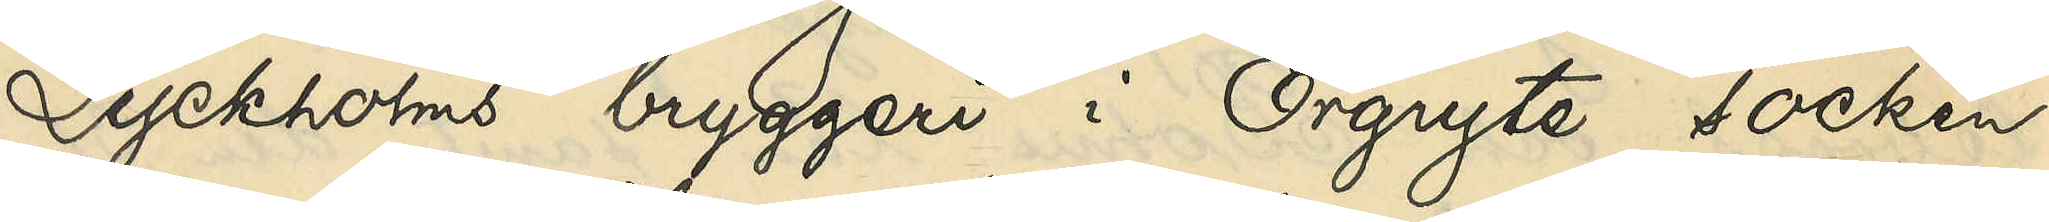Lyckholms bryggeri i Örgryte socken,
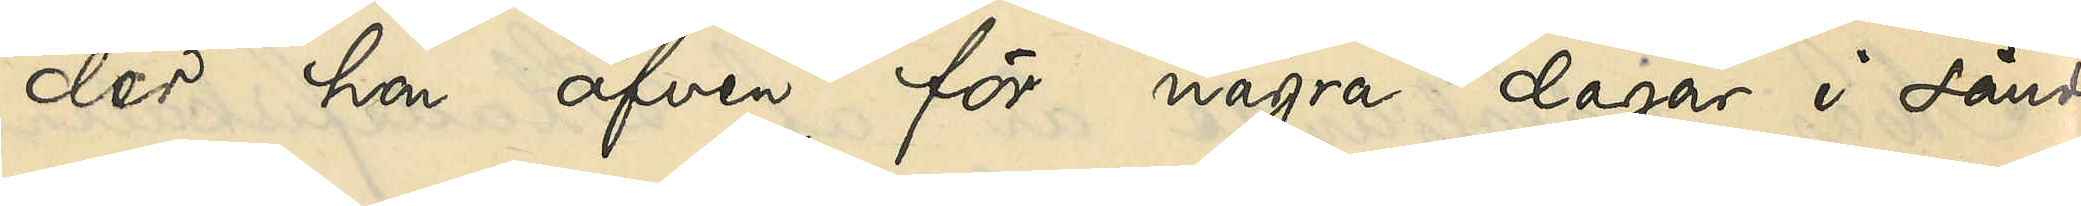der hon äfven för några dagar i sänder
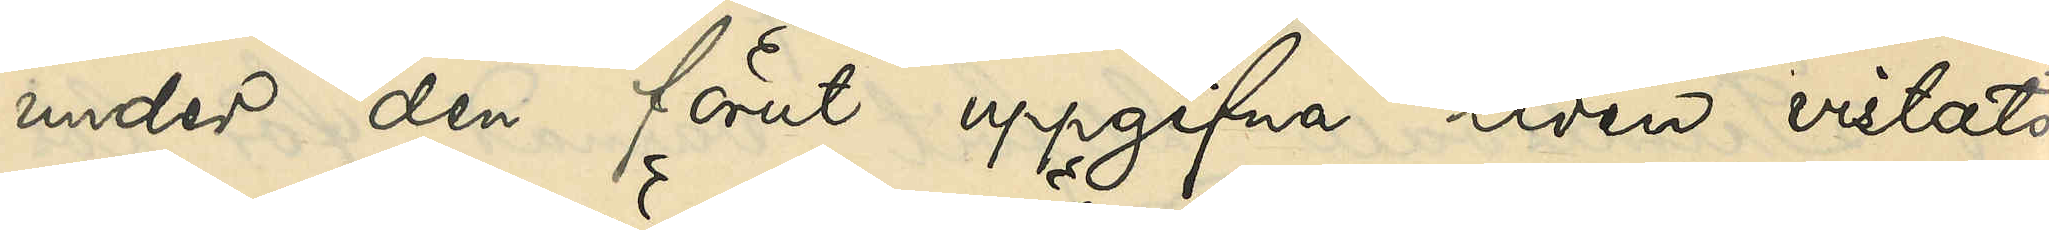under den förut uppgifna tiden vistats
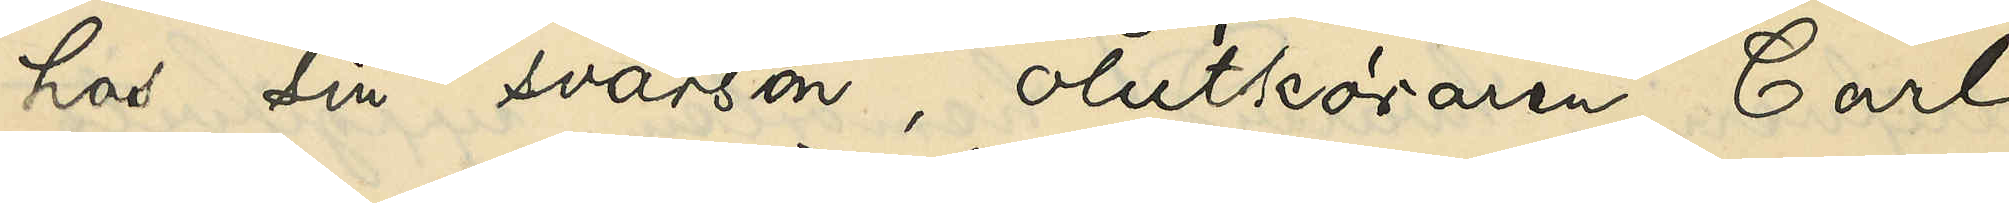hos sin svärson, ölutköraren Carl
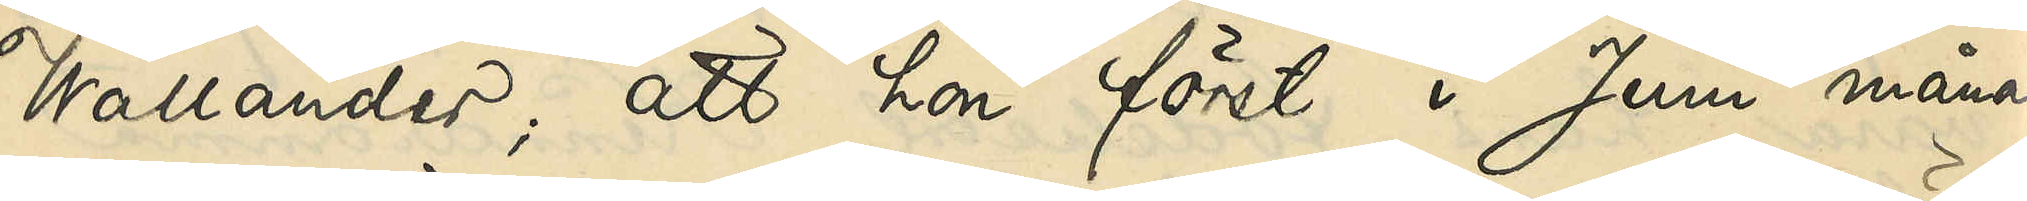Wallander; att hon först i Juni månad
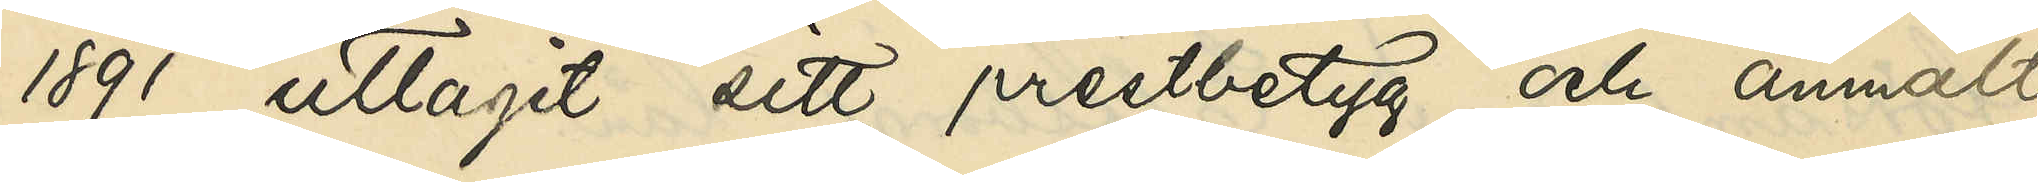1891 uttagit sitt prestbetyg och anmält
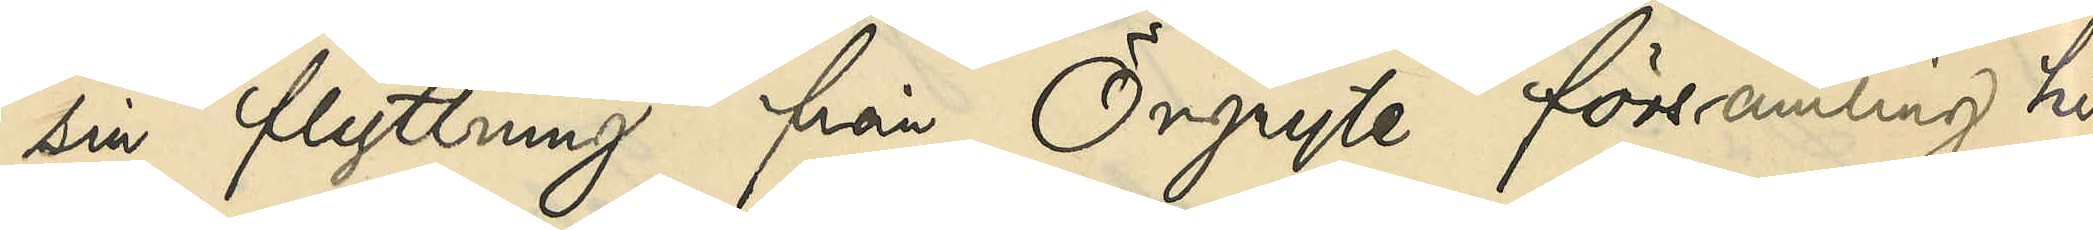sin flyttning från Örgryte församling hit
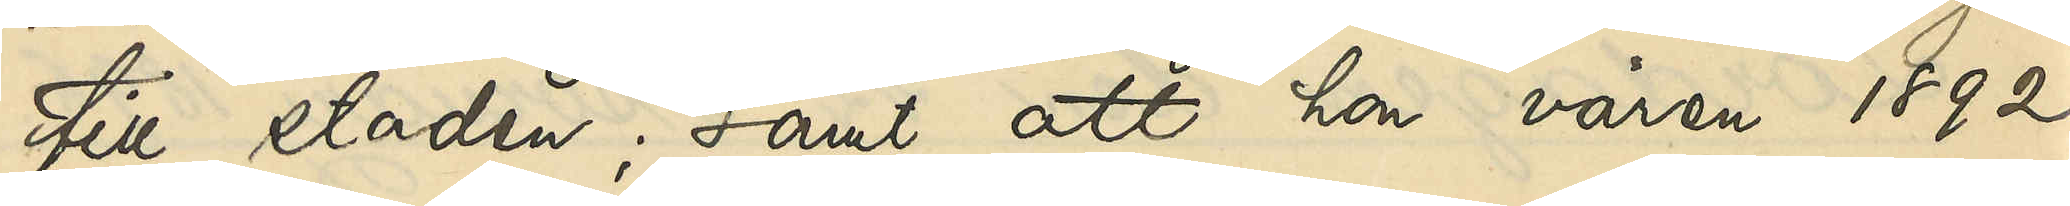till staden; samt att hon våren 1892
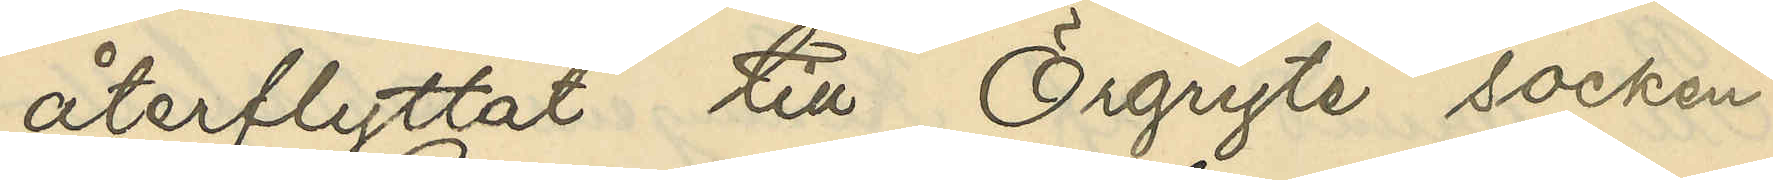återflyttat till Örgryte socken.
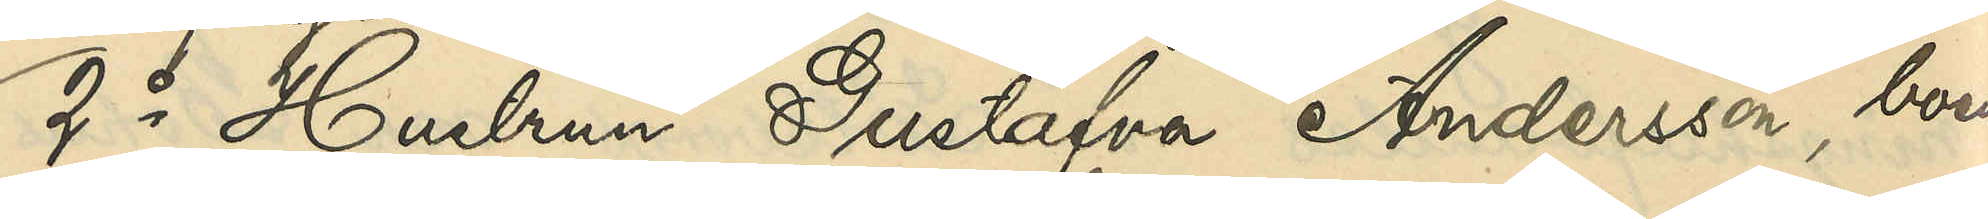2o Hustrun Gustafva Andersson, boende
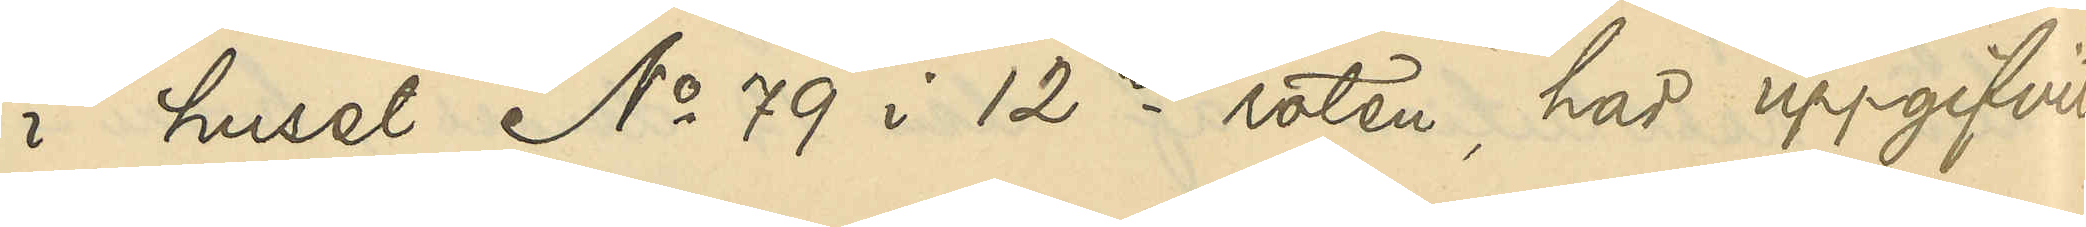i huset No 79 i 12te roten, har uppgifvit
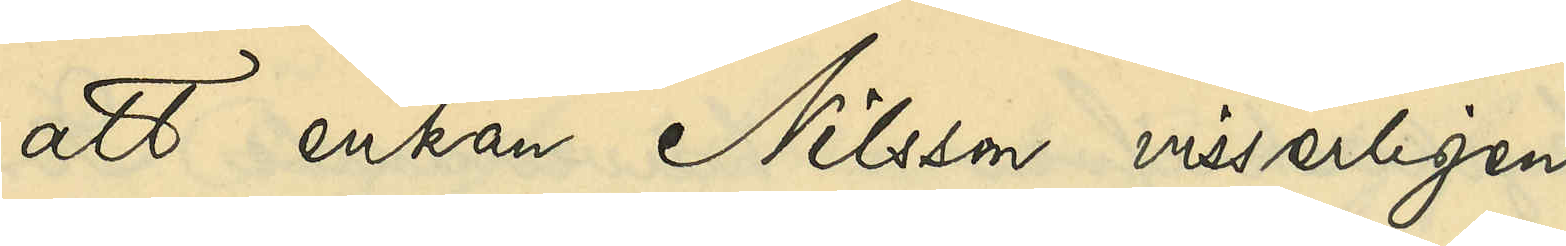att enkan Nilsson visserligen
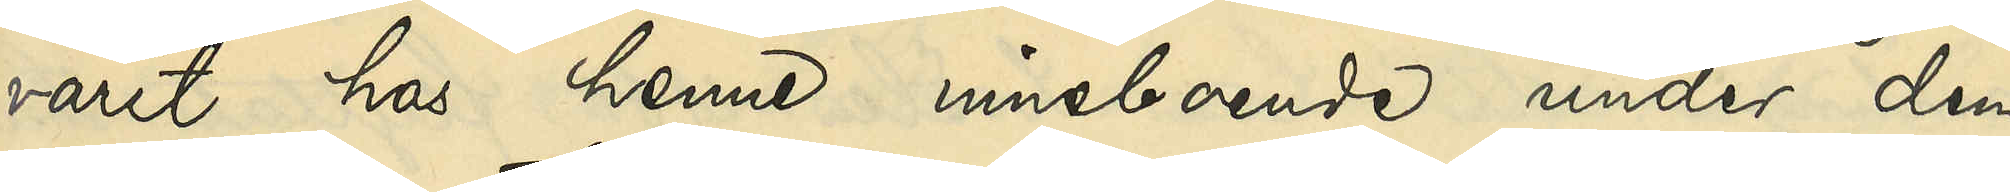varit hos henne inneboende under den
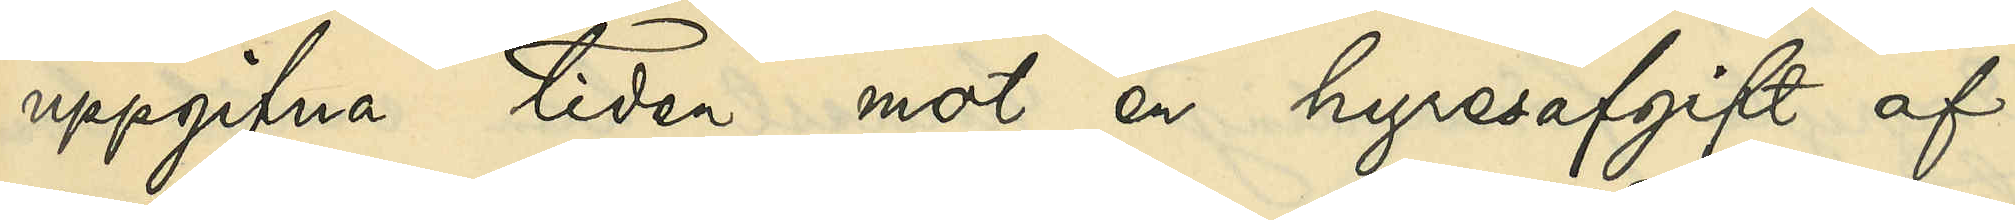uppgifna tiden mot en hyresafgift af
